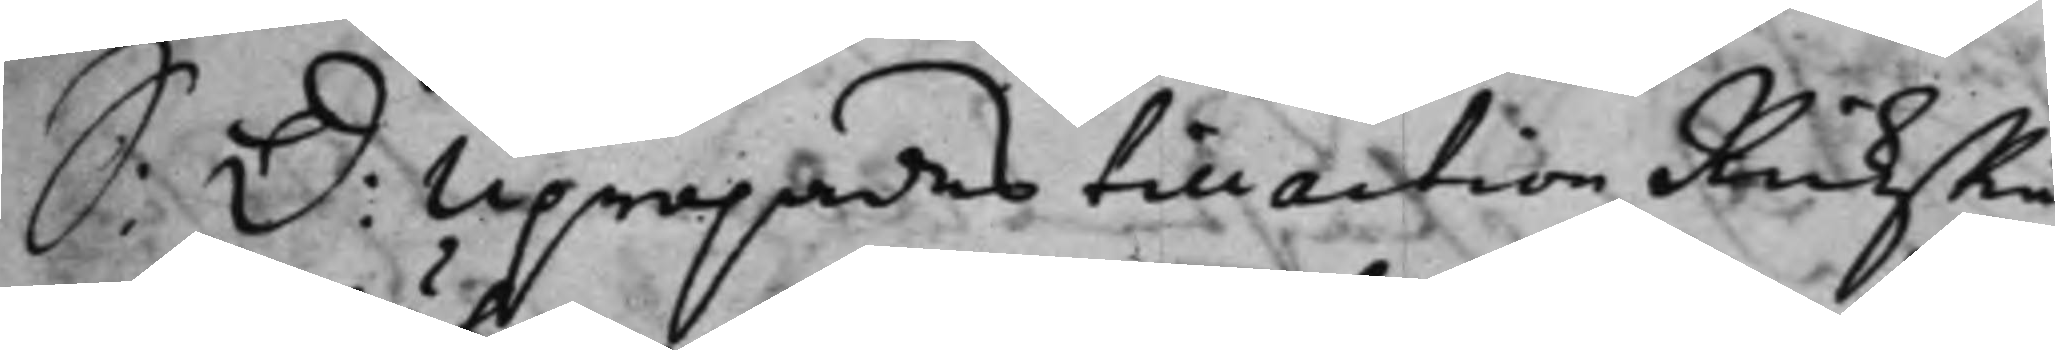S: d: Upropades till action RicksRå¬
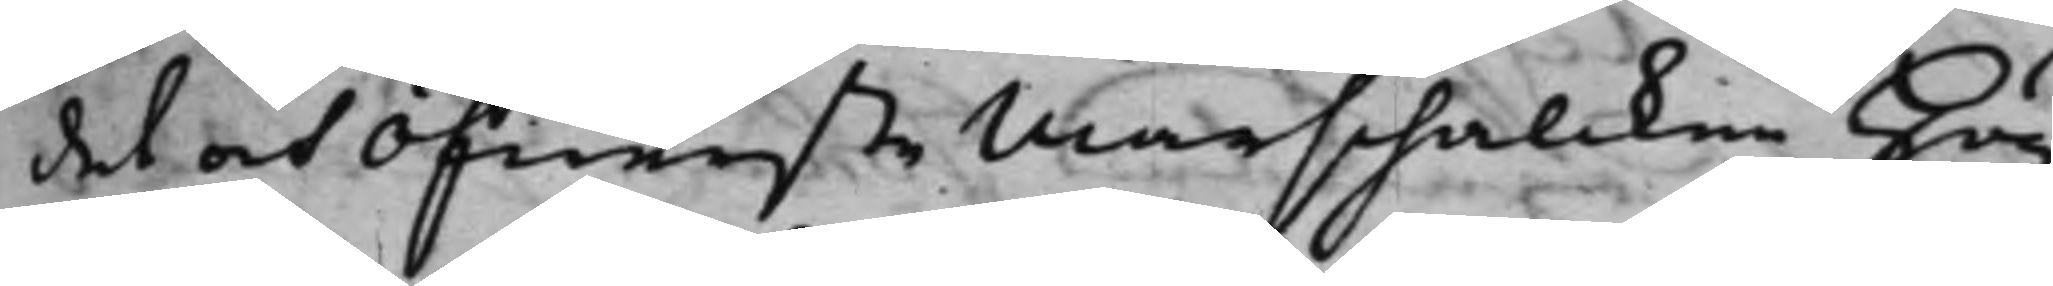det och Öfwerste Marschalcken Hög¬
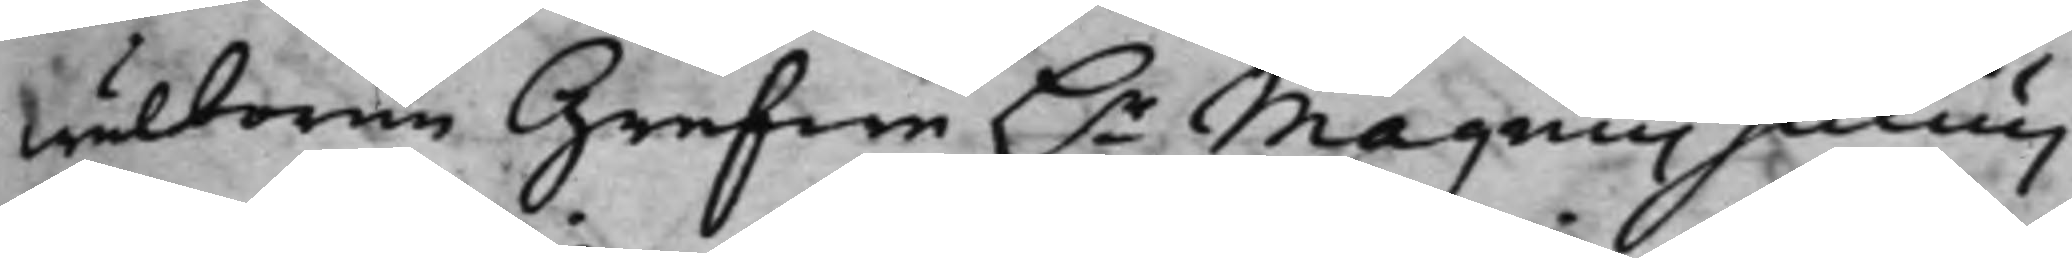wälborne Grefwe h.r Magnus Julius
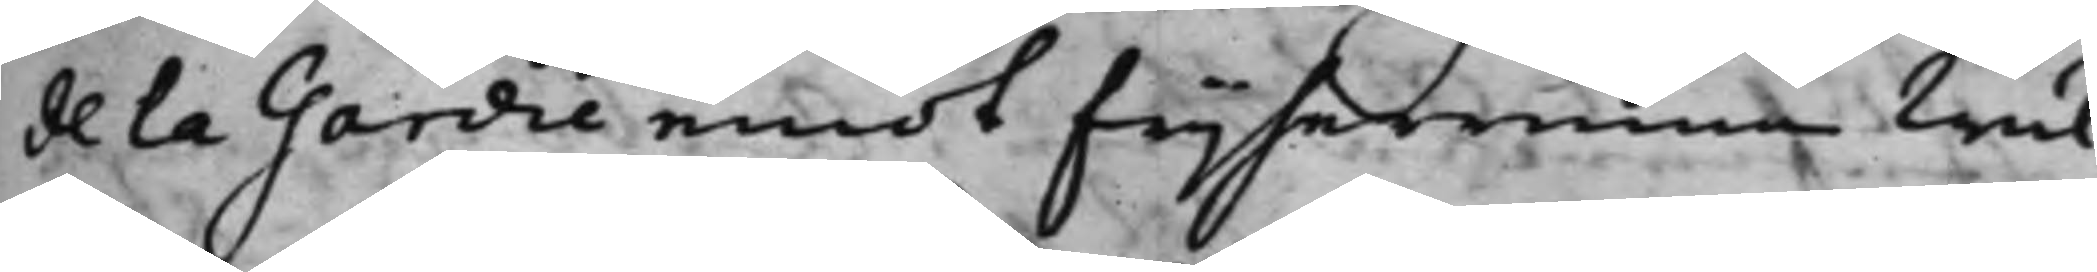dela Gardie emot frijherrinna Wäl¬
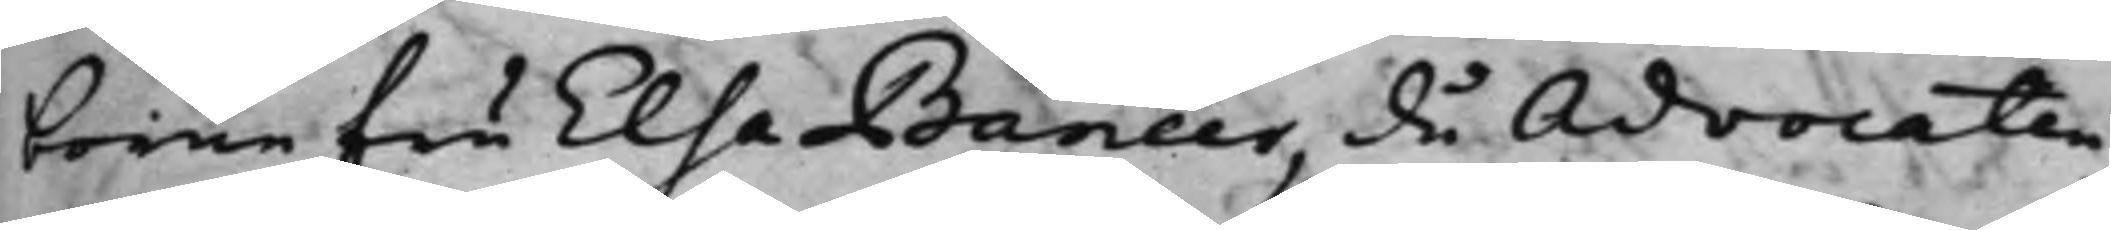borne fru Elsa Baneer, då Advocaten
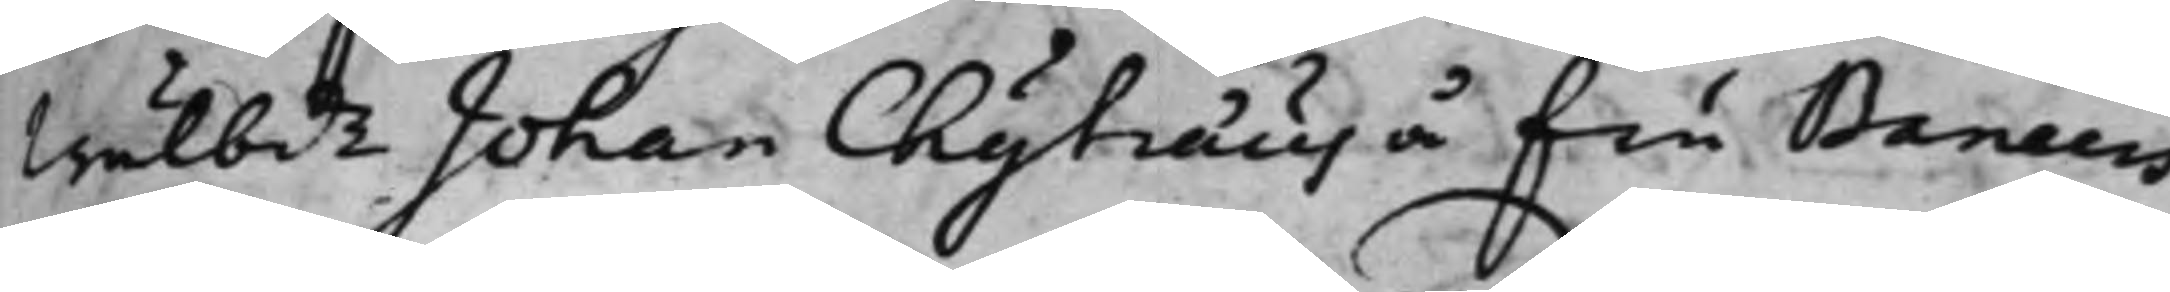Wälbde Johan Chyträus å fru Baneers
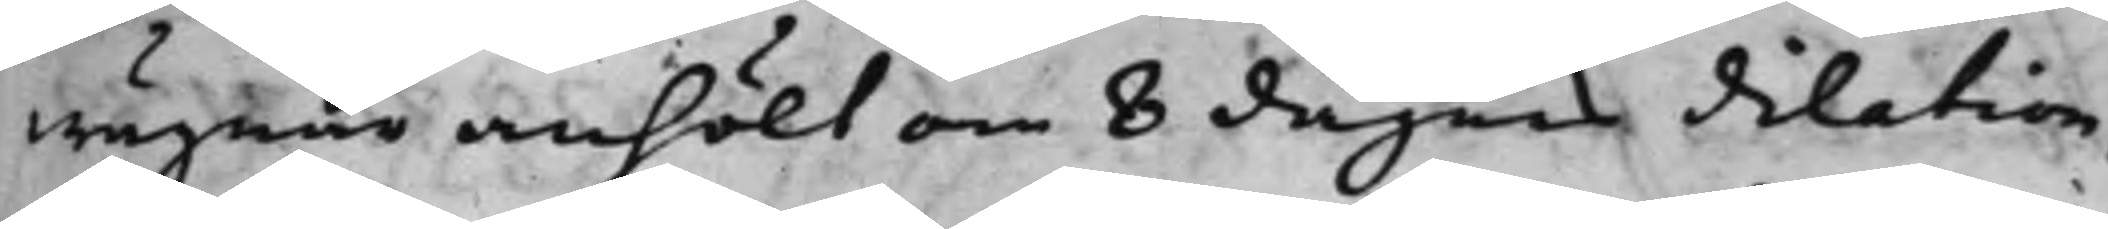wägnar anhölt om 8 dagars dilation,
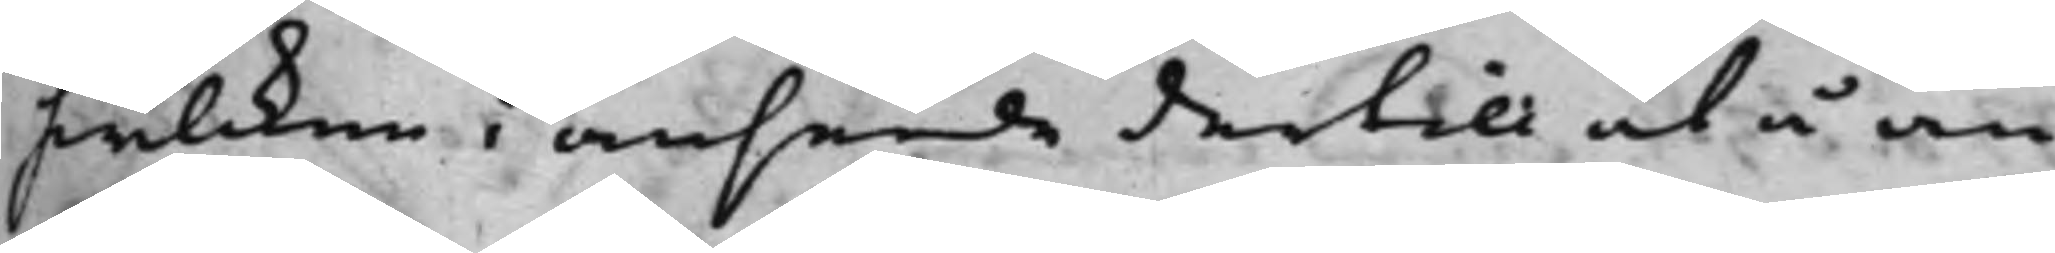hwilcken i anseende dertill at å an¬
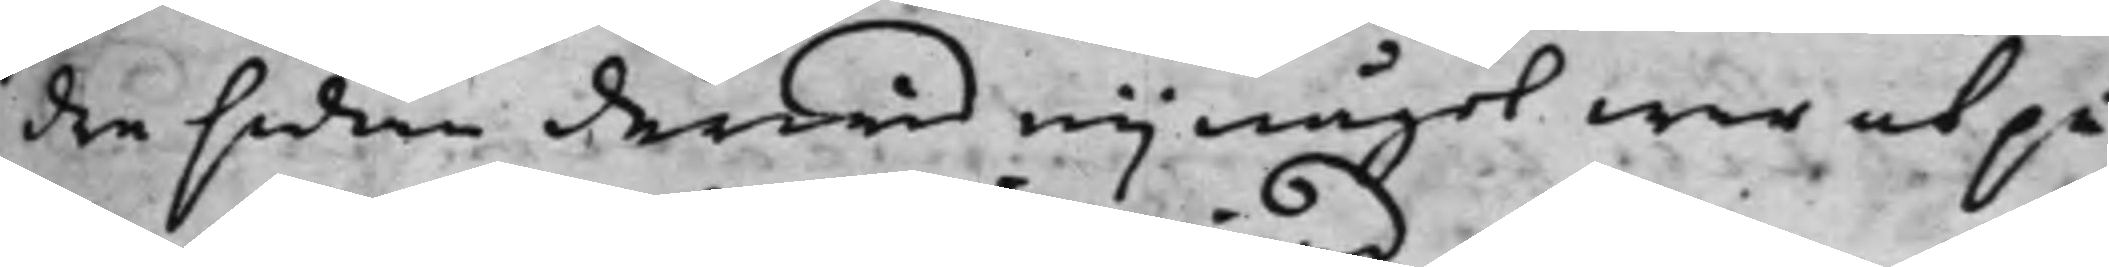dre sidan derwid eij något war at på¬
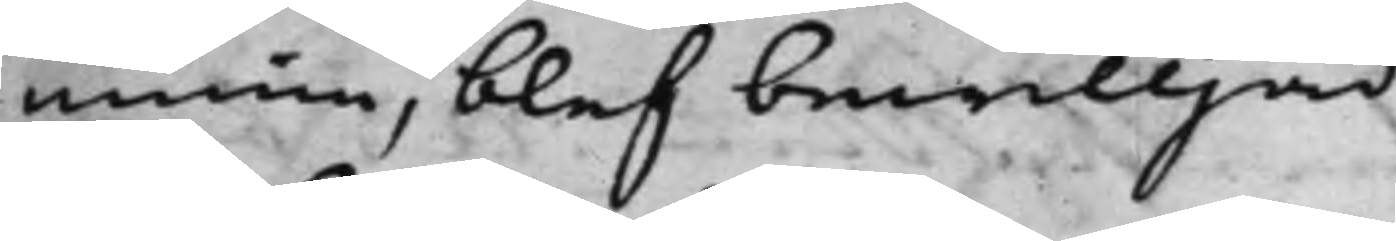minna, blef bewilljad
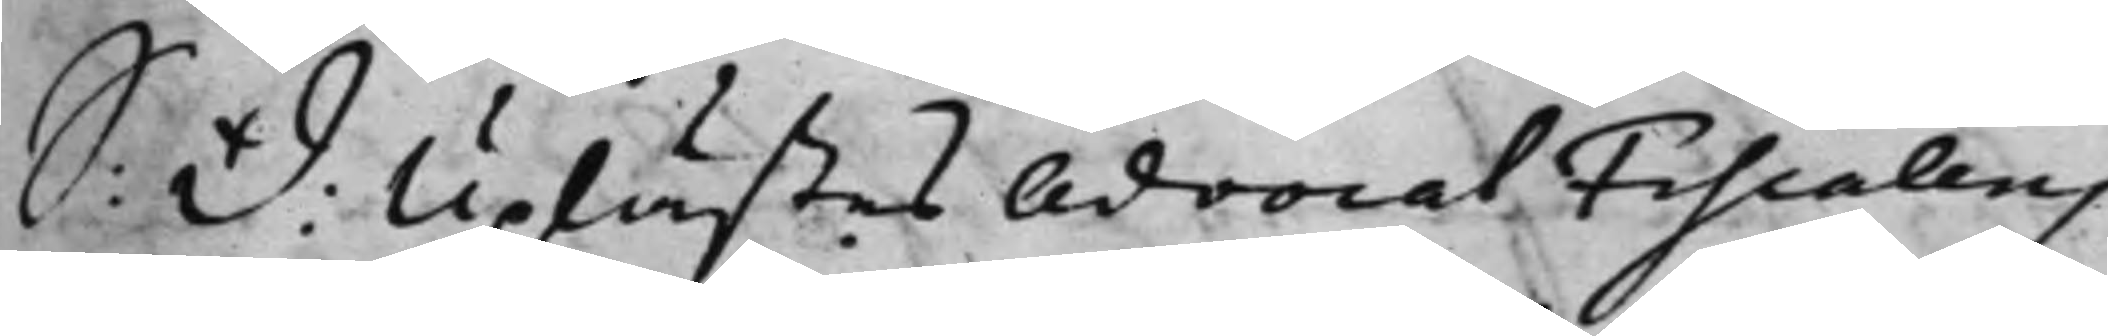S: d: Uplästes AdvocatFiscalens
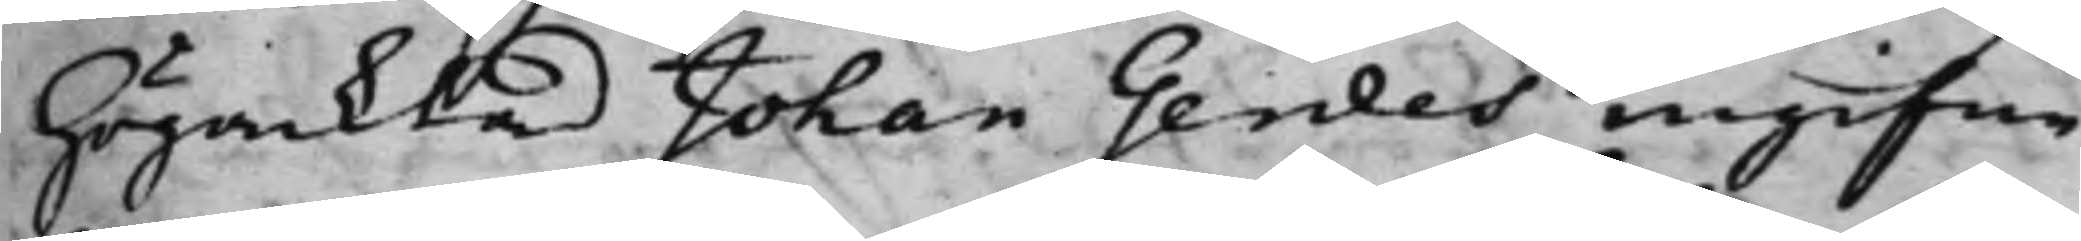Högacktad Johan Gerdes ingifne
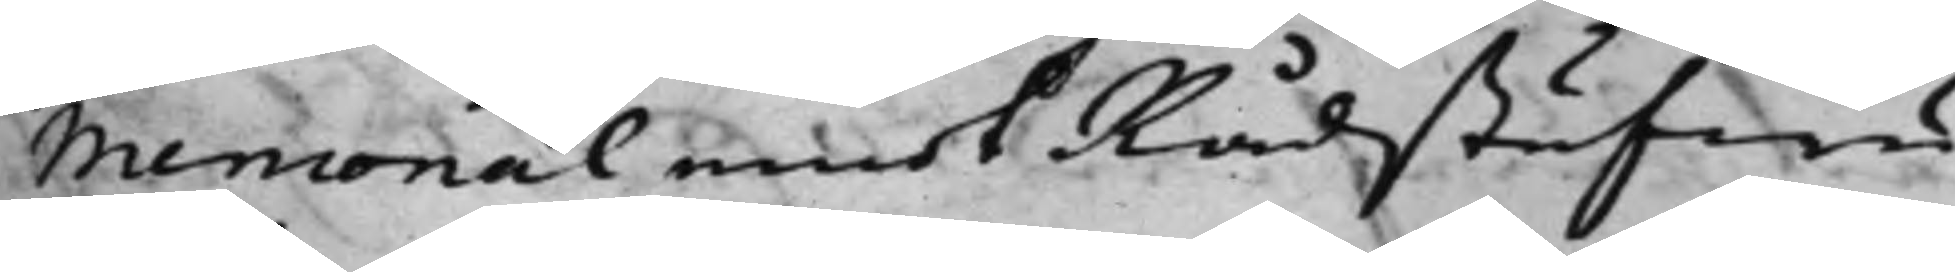Memorial emot Rådstufwu
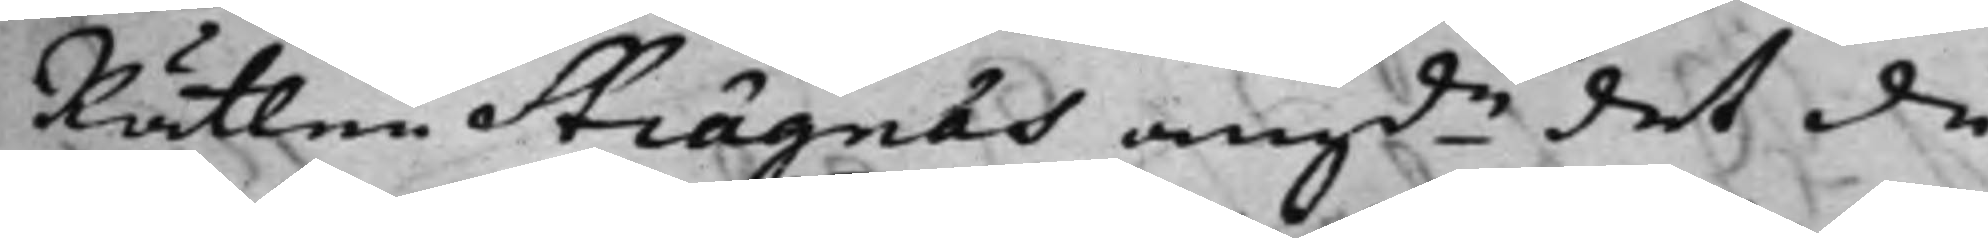Rätten Strägnäs angde det de
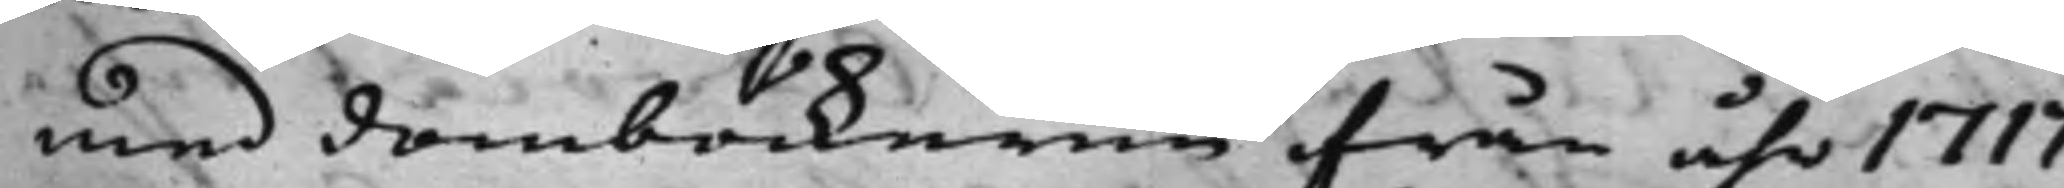med domböckerne ifrån åhr 1717
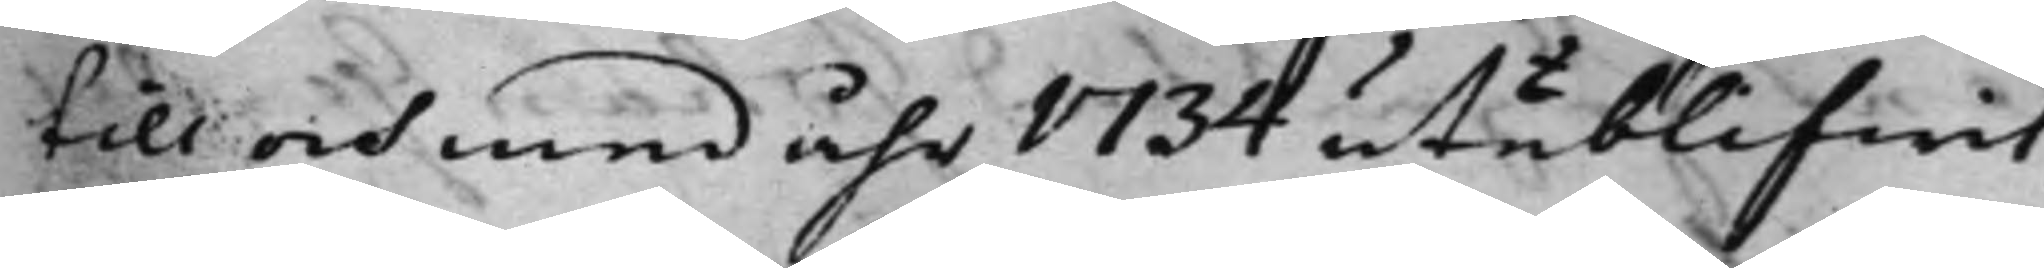till och med åhr 1734 uteblifwit,
